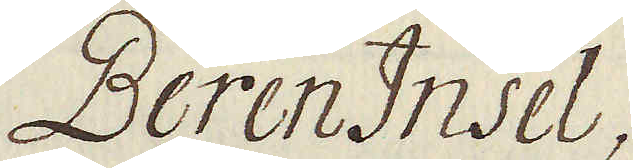Beren Insel,
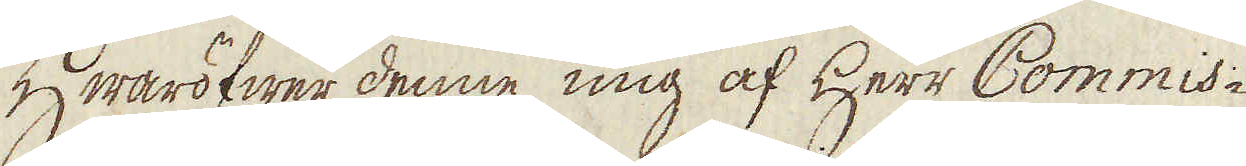Hwaröfwer denne mig af Herr Commis-
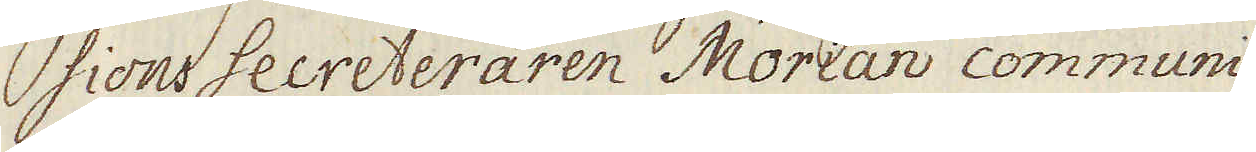sions Secreteraren Morian communi-
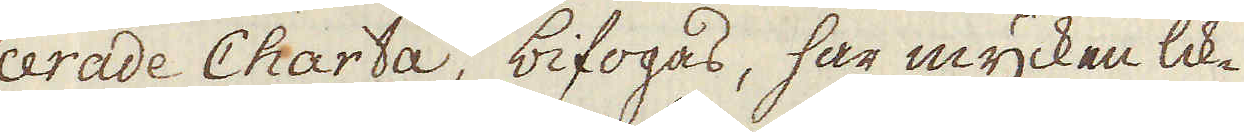cerade Charta, bifogas, har mycken lik-
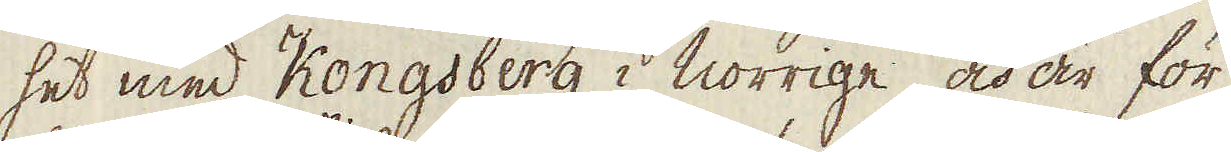het med Kongsberg i Norrige, och är för
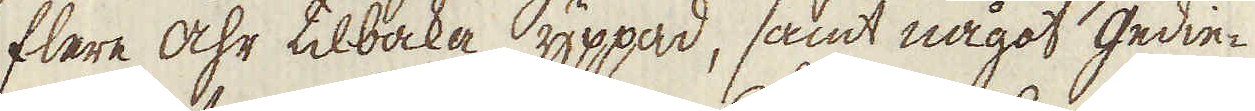flere åhr tilbaka yppad, samt något gedie-
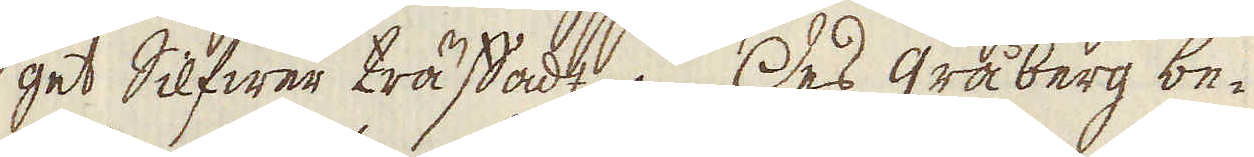get Silfwer träffadt. Des gråberg be-
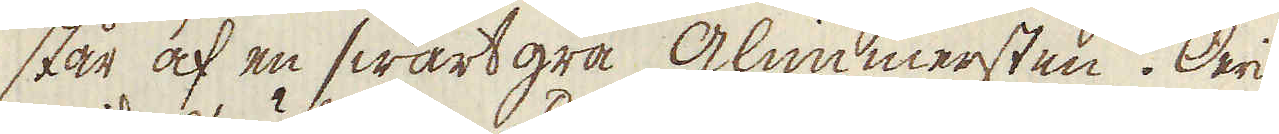står af en swartgrå glimmersten. Deri
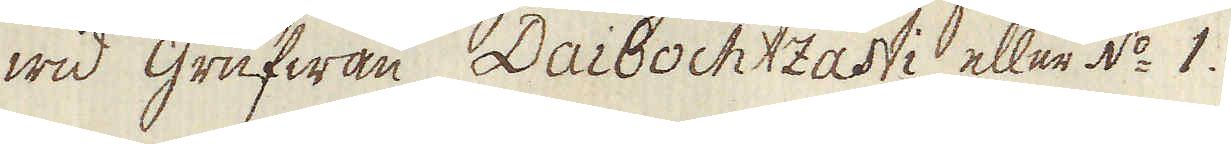wid grufwan Daibochtzasti eller N:o 1.
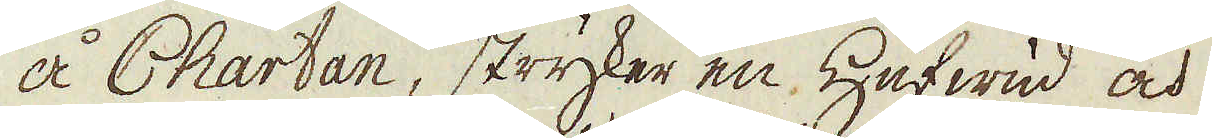å Chartan, stryker en Hufwud och
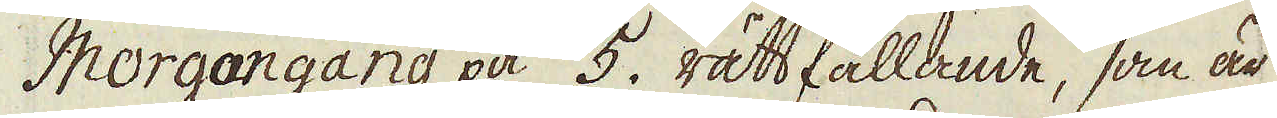Morgongång på 5. rätt fallande, som är
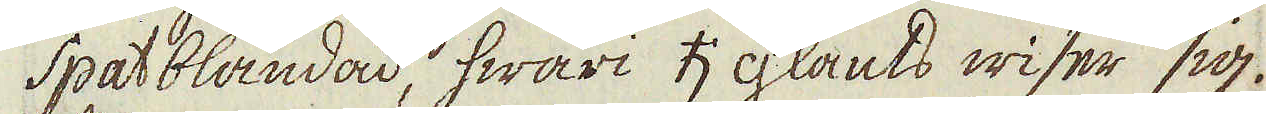spatblandad, hwari ♄ glants wiser sig.
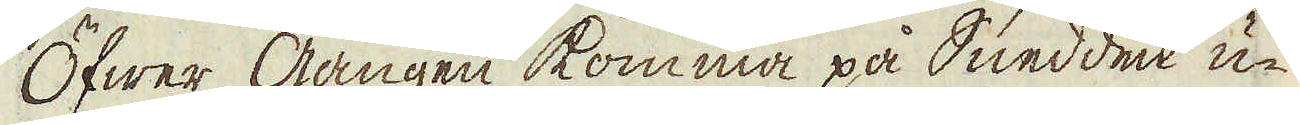Öfwer gången komma på Snedden u-
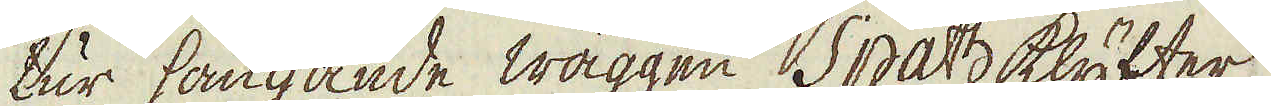tur hängande wäggen Spath klyfter
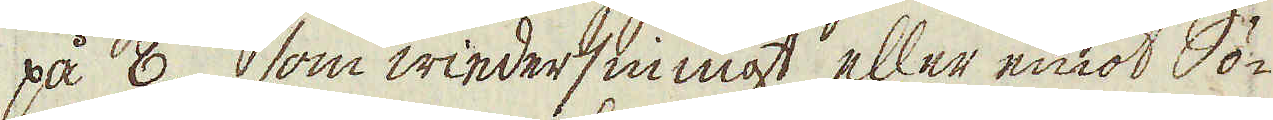på 8. som wiedersinnigt eller emot Sö-
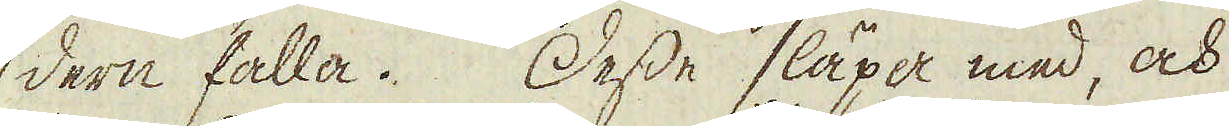dern falla. Desse släpa med, och
